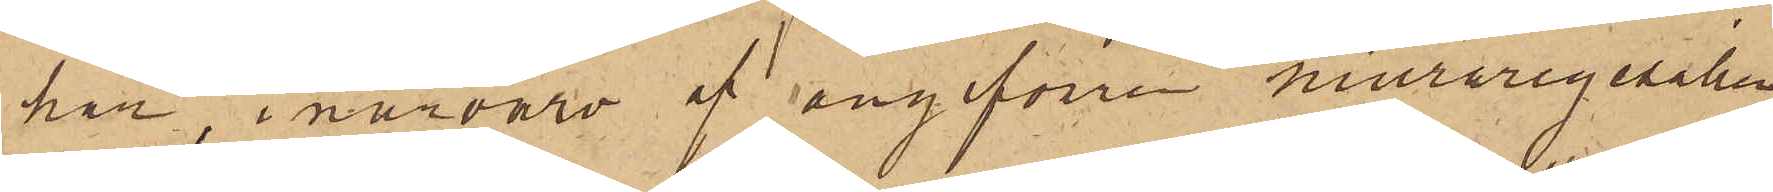har i närvaro af angifvna muraregesällen
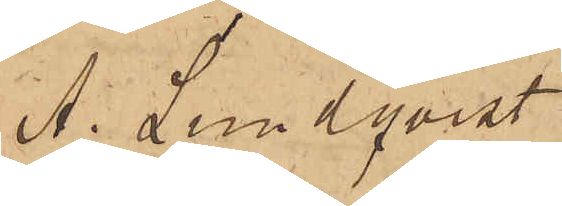A. Lundqvist
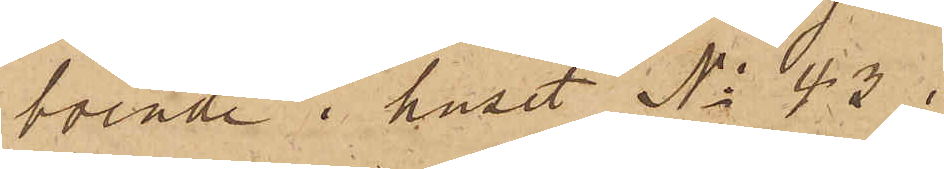boende i huset No 43 i
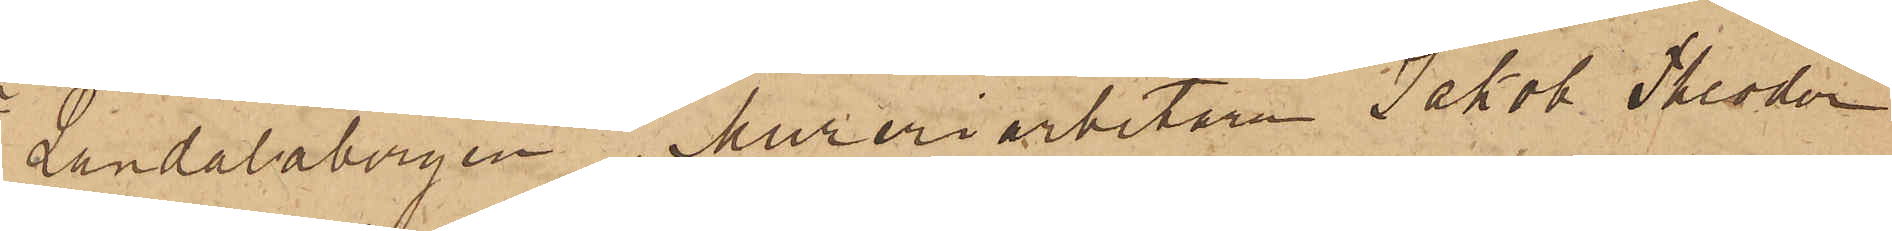Landalabergen, Mureriarbetaren Jakob Theodor
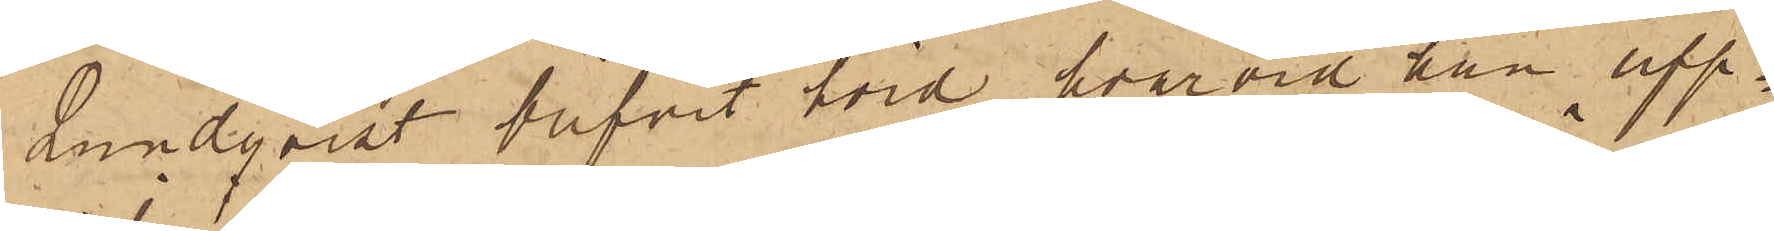Lundqvist blifvit hörd, hvarvid han upp¬
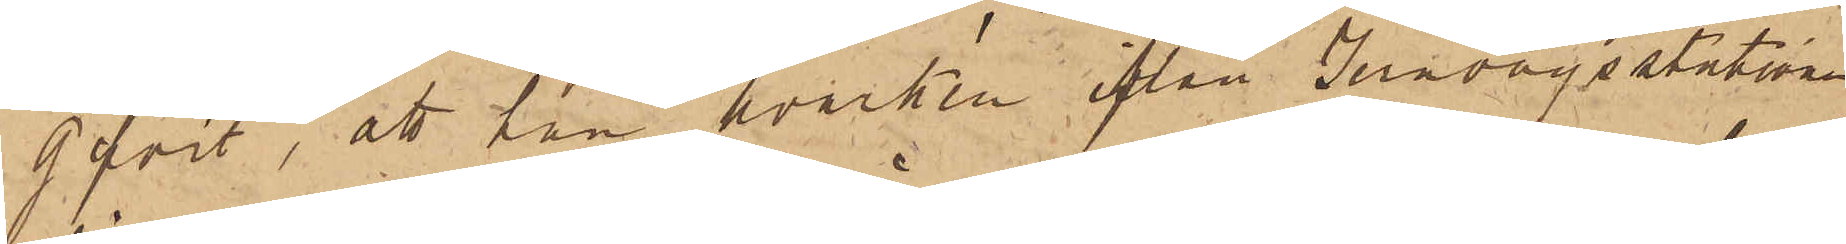gifvit, att han hvarken ifrån Jernvägsstationen
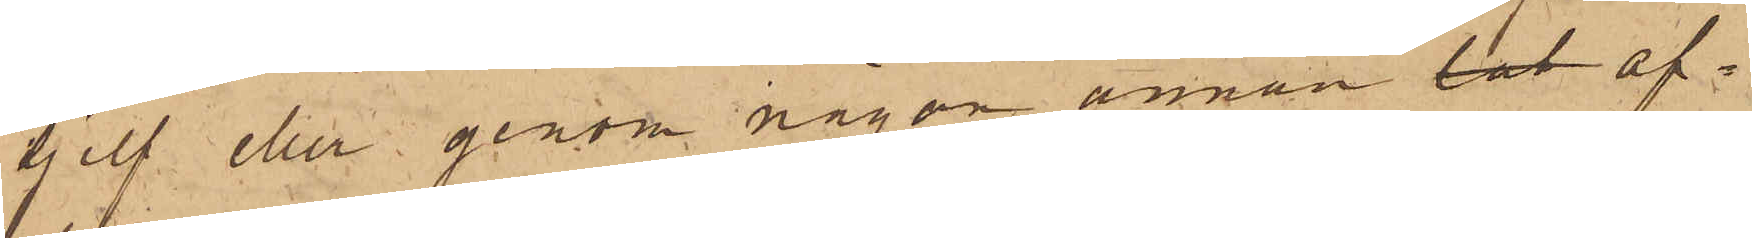sjelf eller genom någon annan lat af¬
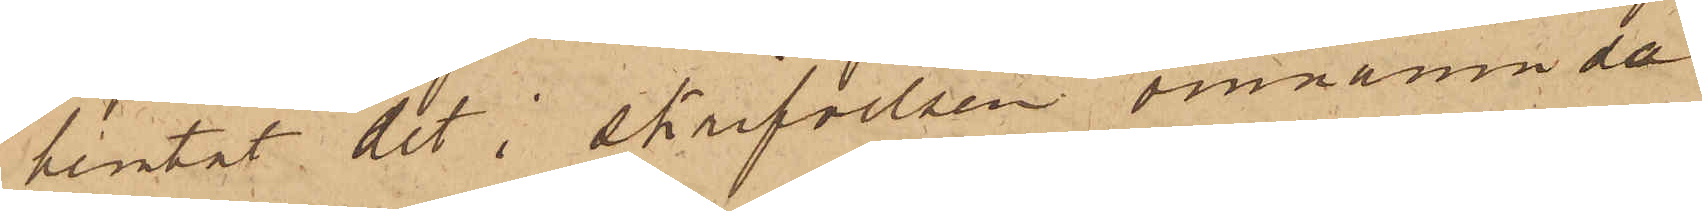hemtat det i skrifvelsen omnämnda
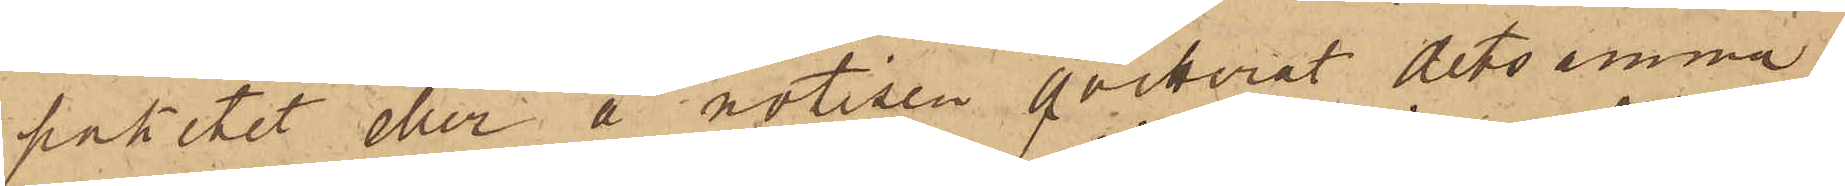paketet eller å notisen qvitterat detsamma;
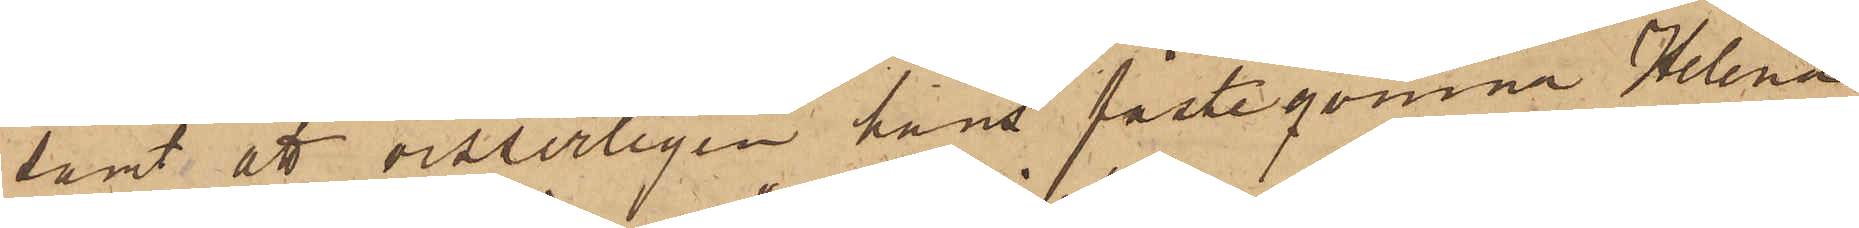samt att visserligen hans fästeqvinna Helena
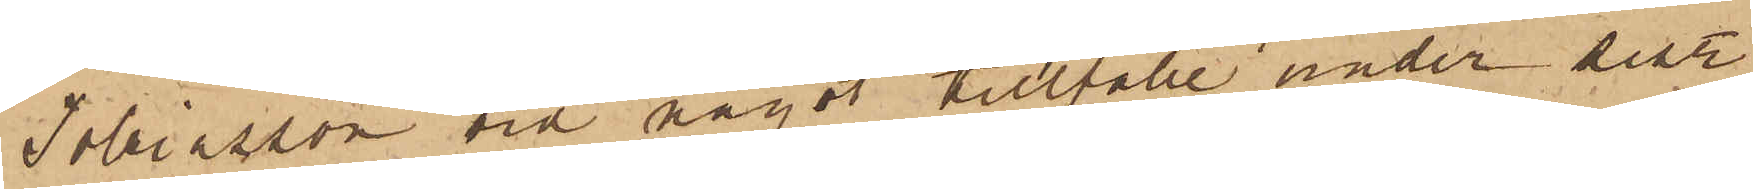Tobiasson vid något tillfälle under sistl.
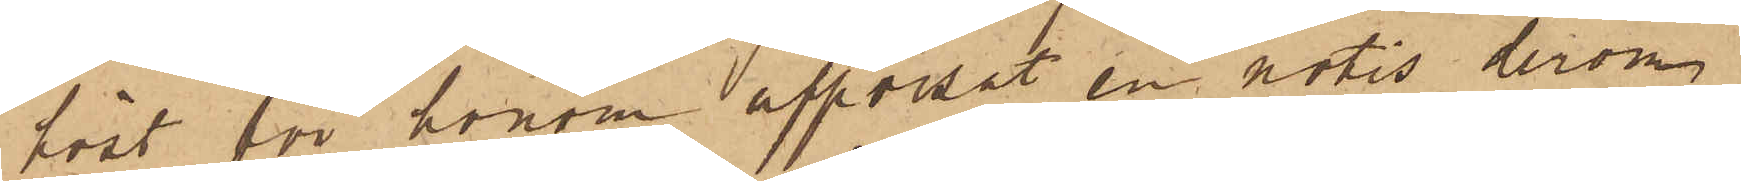höst för honom uppvisat en notis derom,
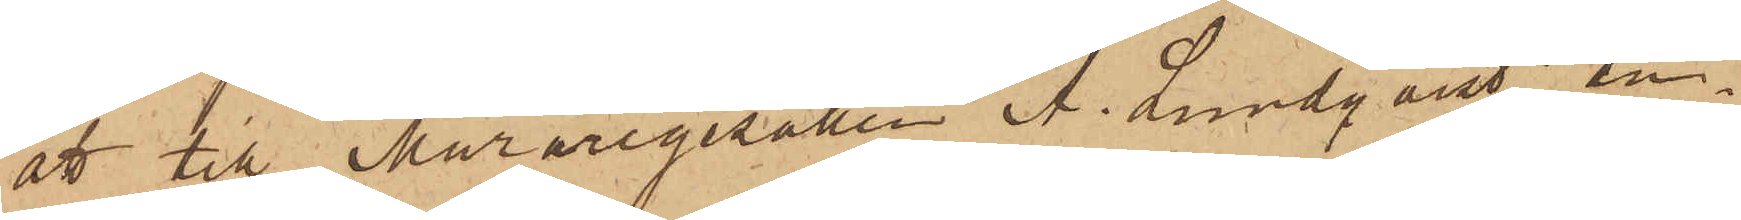att till Muraregesällen A. Lundqvist an¬
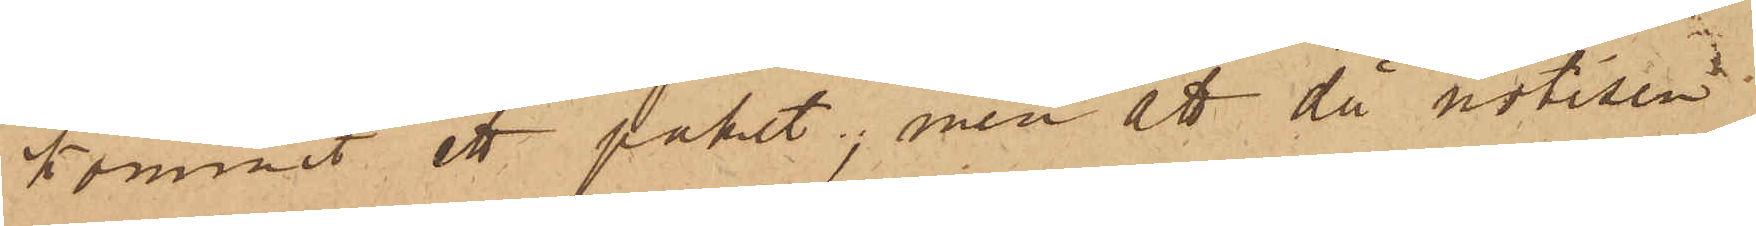kommit ett paket, men att då notisen
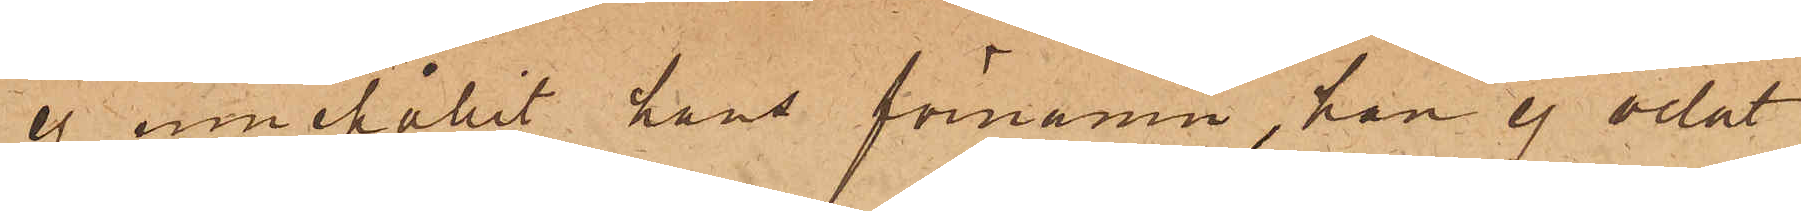ej innehållit hans förnamn, han ej velat
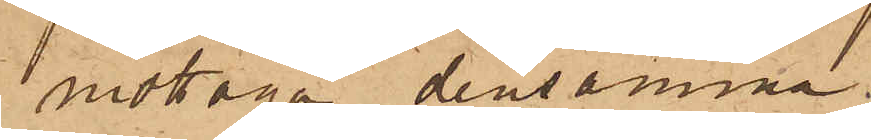mottaga densamma.
